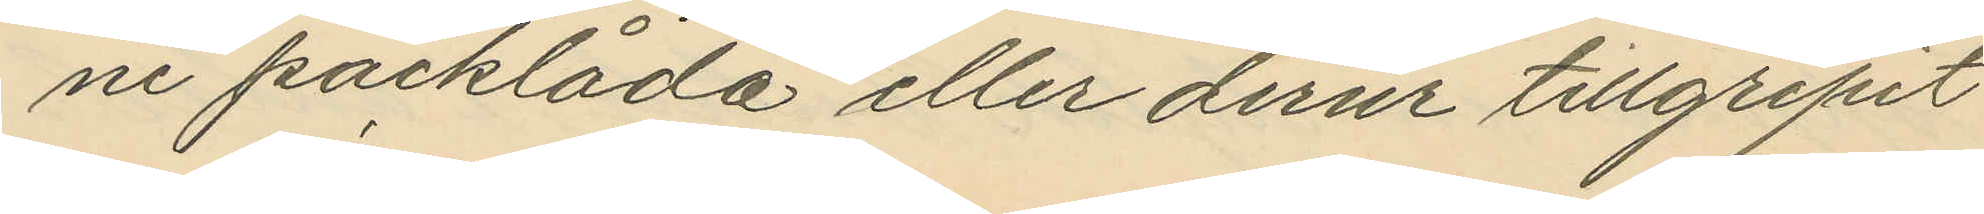ne packlåda eller derur tillgripit
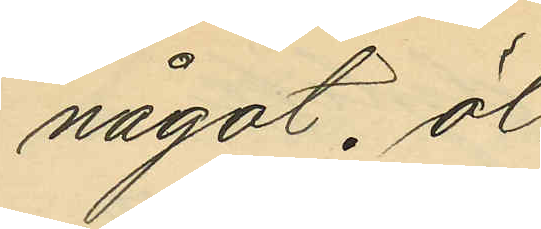något öl.
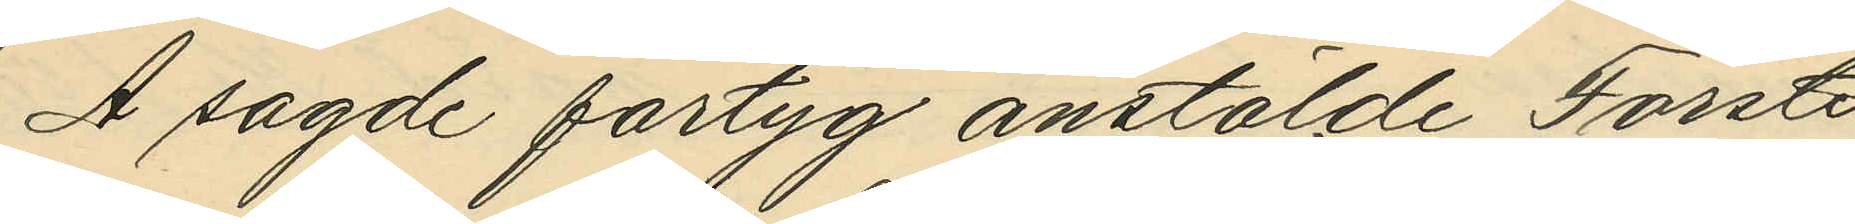Å sagde fartyg anstälde Förste
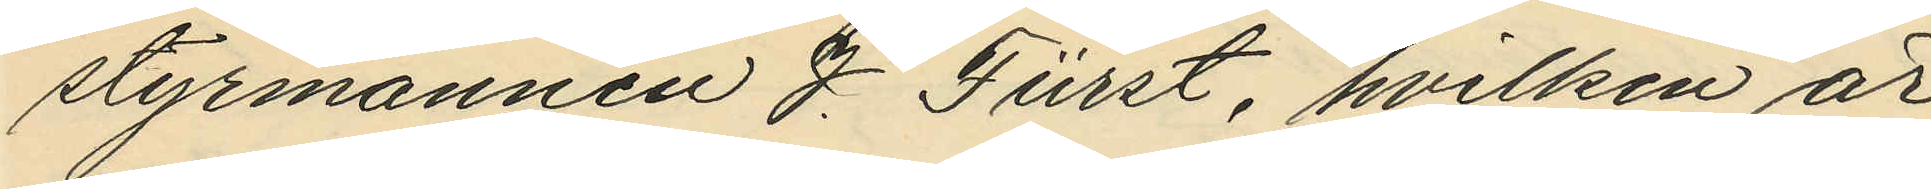styrmannen J. Fürst, hvilken är
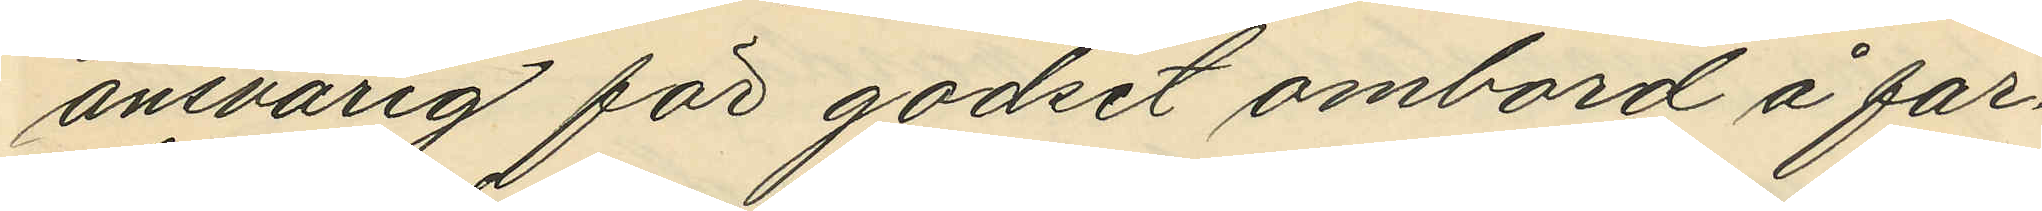ansvarig för godset ombord å far¬
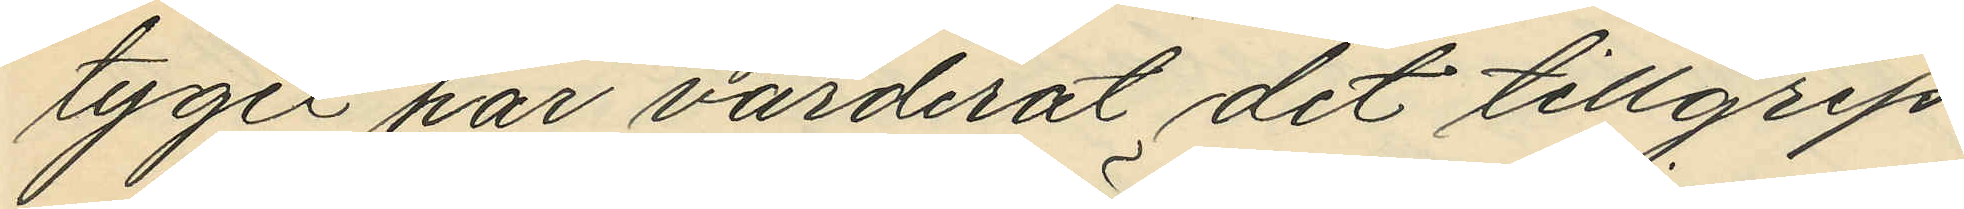tyget har värderat det tillgrip¬
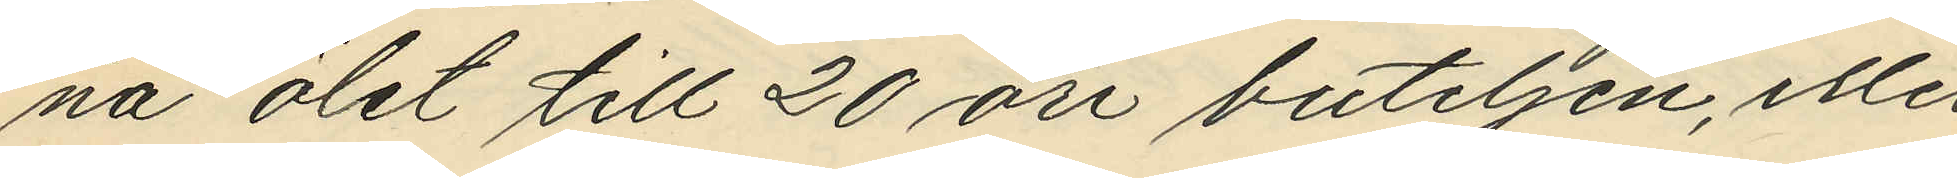na ölet till 20 öre buteljen, eller
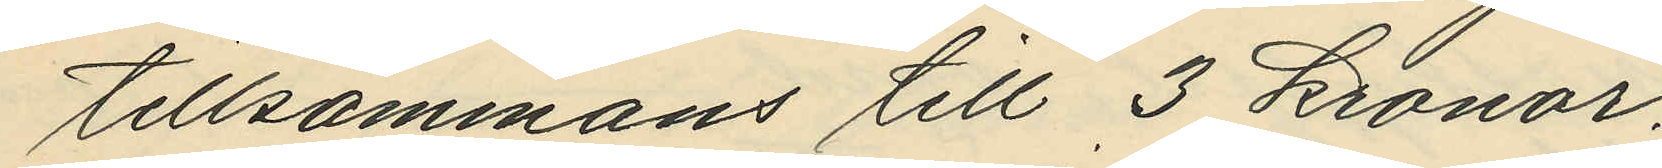tillsammans till 3 kronor.
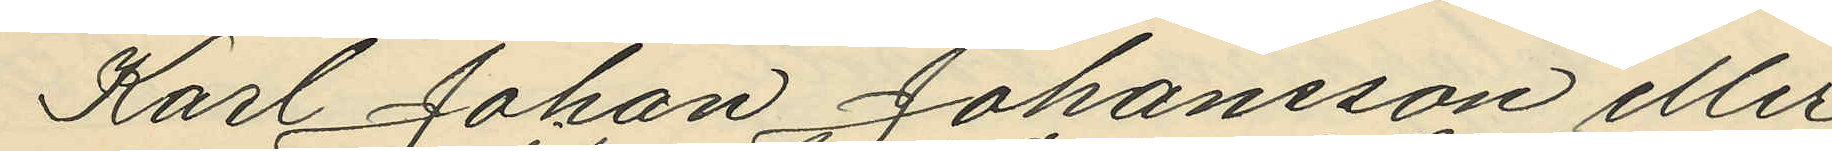Karl Johan Johansson eller
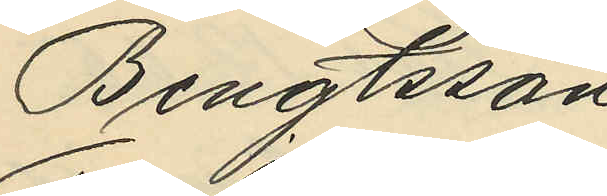Bengtsson
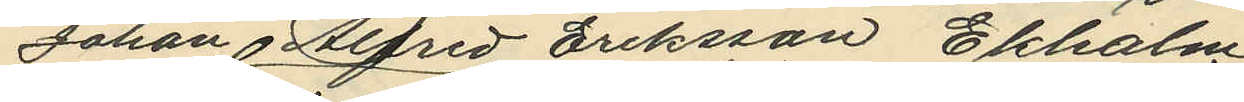Johan Alfrid Eriksson Ekholm
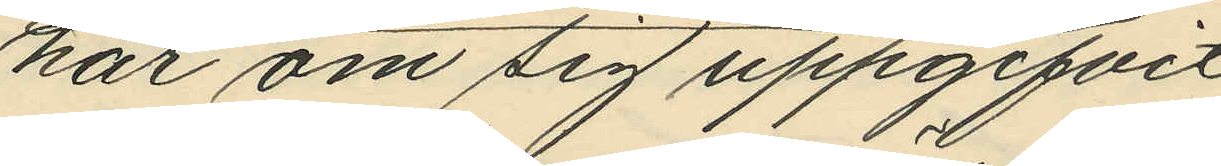har om sig uppgifvit
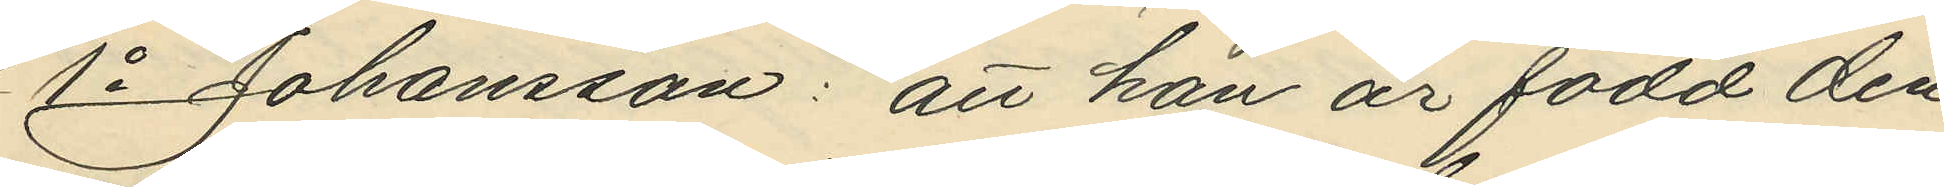1o Johansson: att han är född den
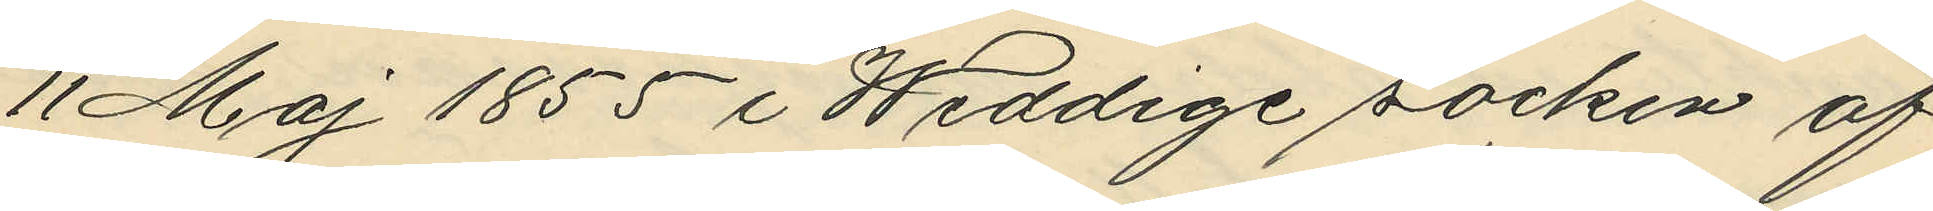11 Maj 1855 i Weddige socken af
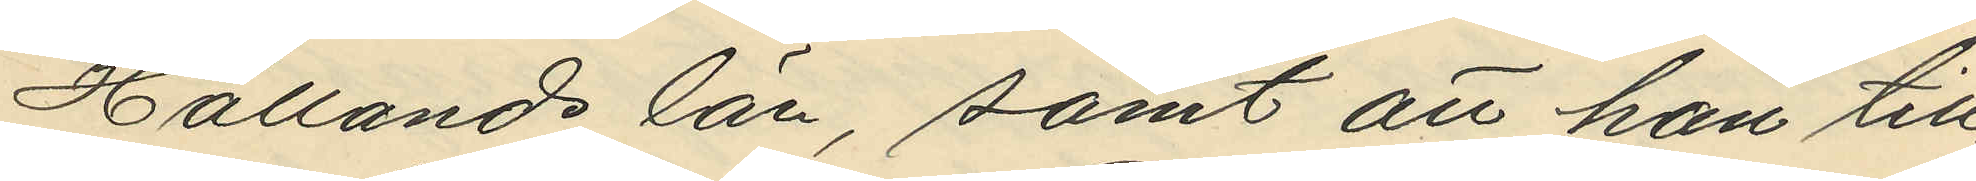Hallands län, samt att han till¬
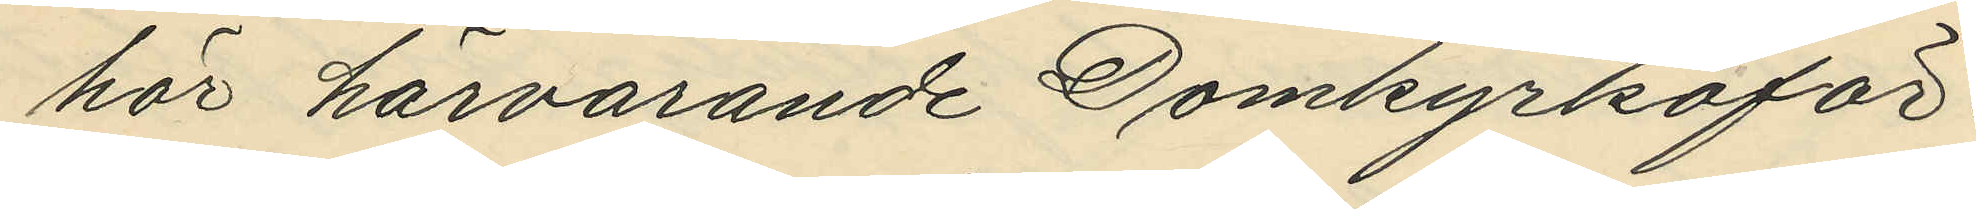hör härvarande Domkyrkoför¬
